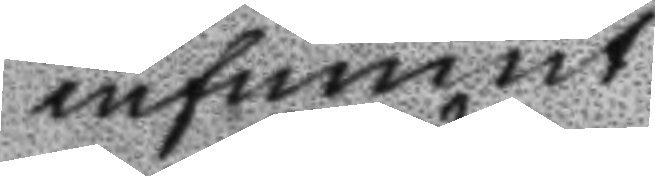infunnit.
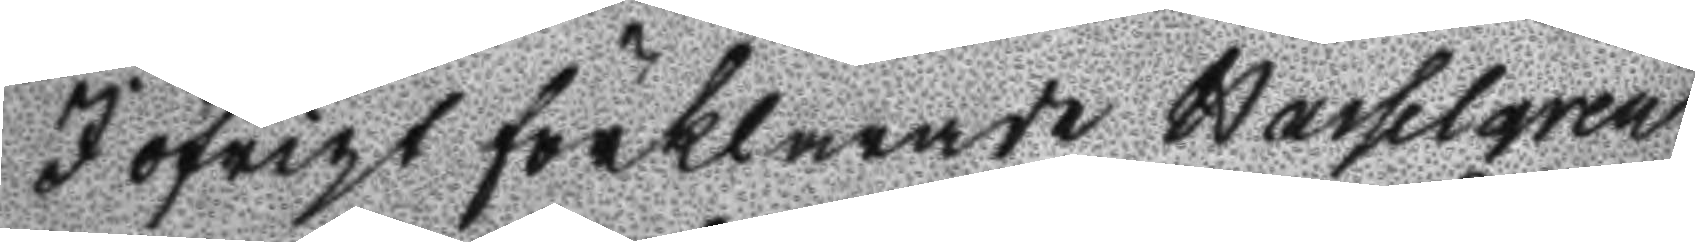I öfrigt förklarade Hasselgren
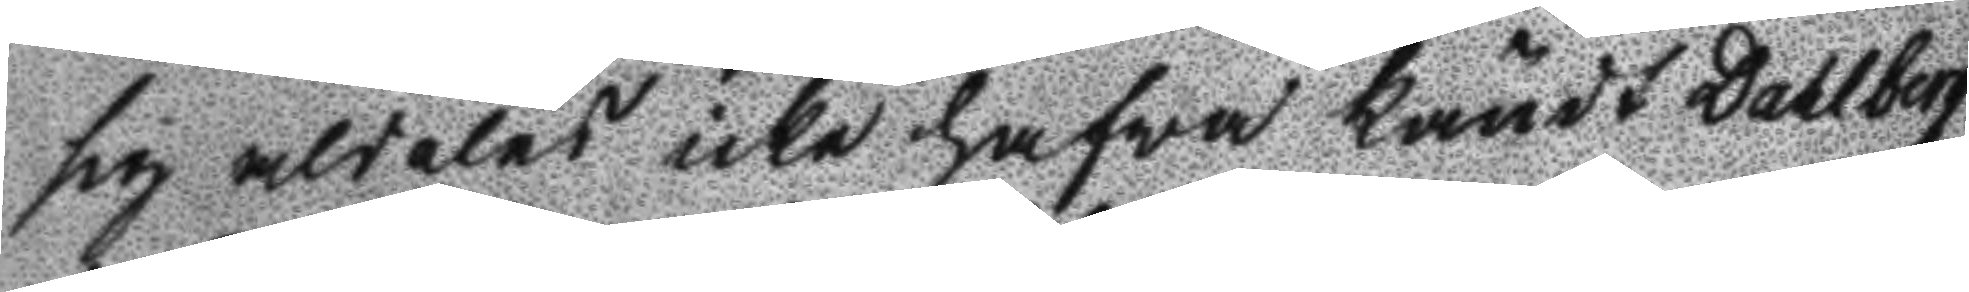sig aldeles icke hafwa kändt Dahlberg
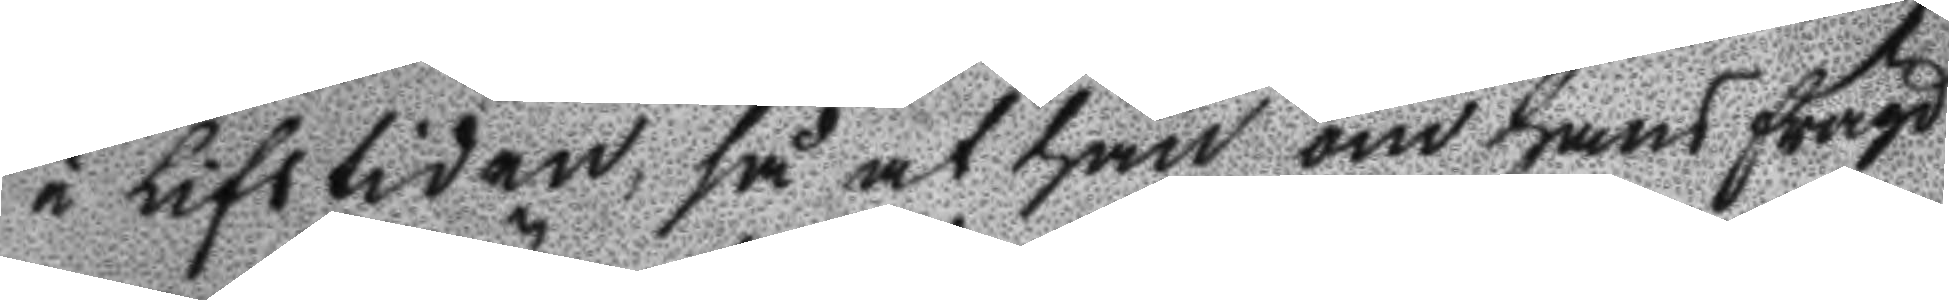i Lifstiden, så at han om hans frägd
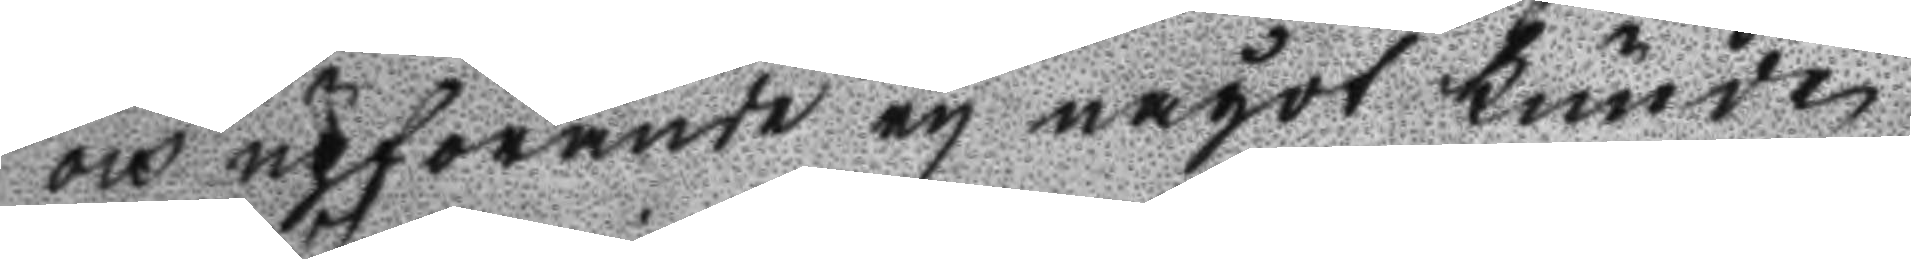och upförande ey något kunde
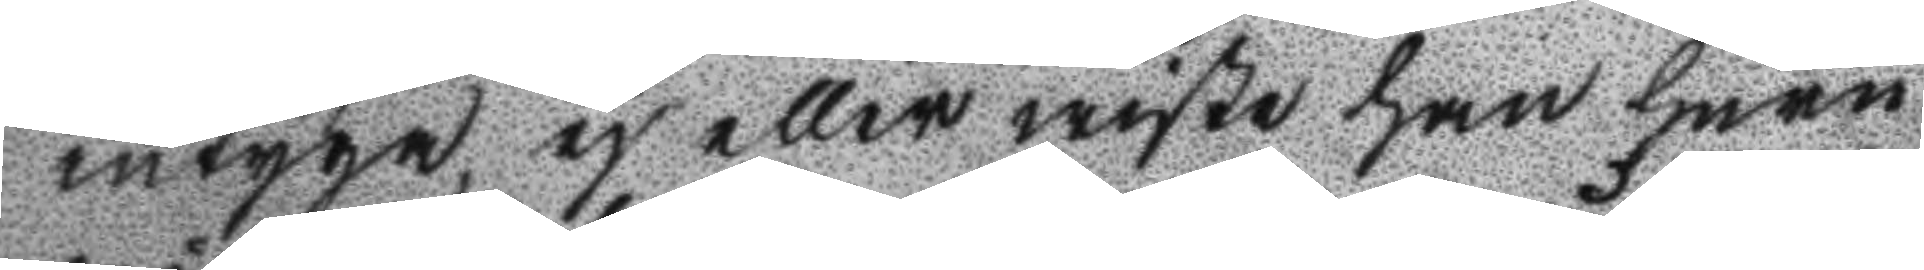intyga, ej eller wiste han huru
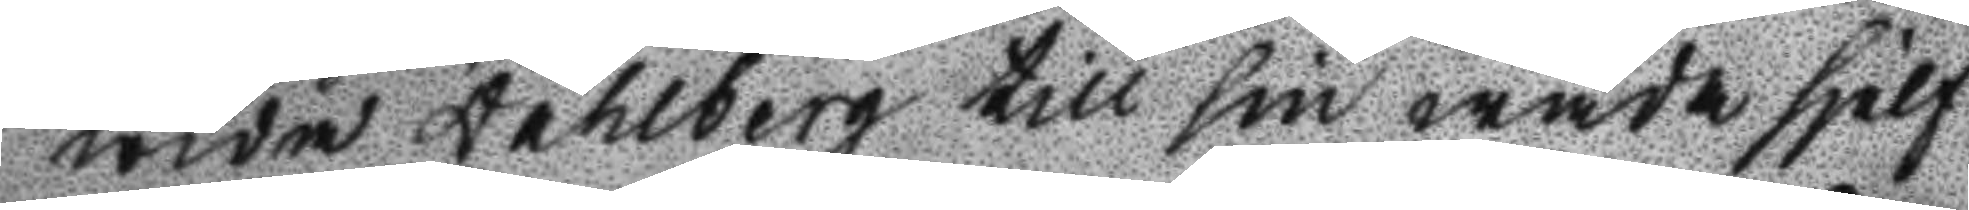wida Dahlberg till sin wåda sjelf
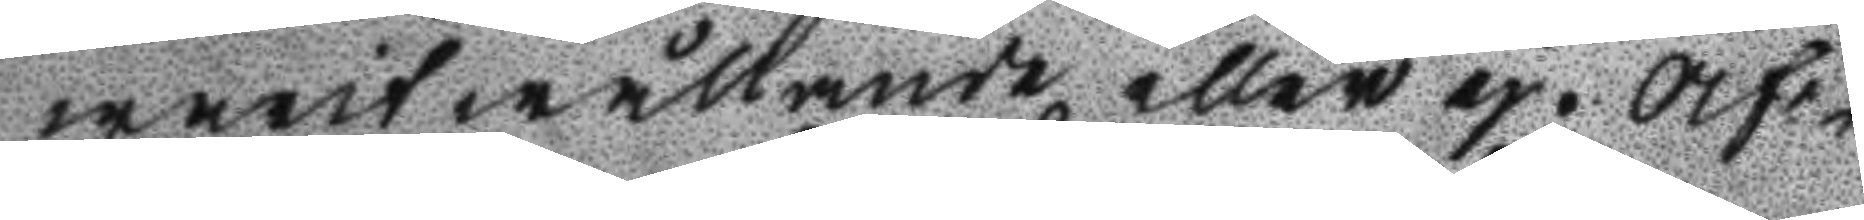warit wållande eller ej. Af¬
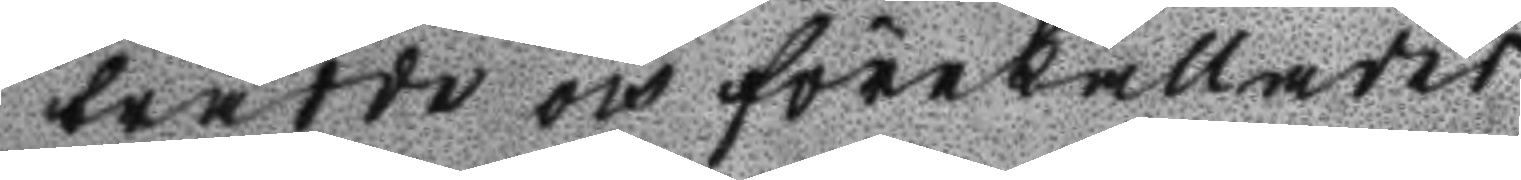trädde och förekallades
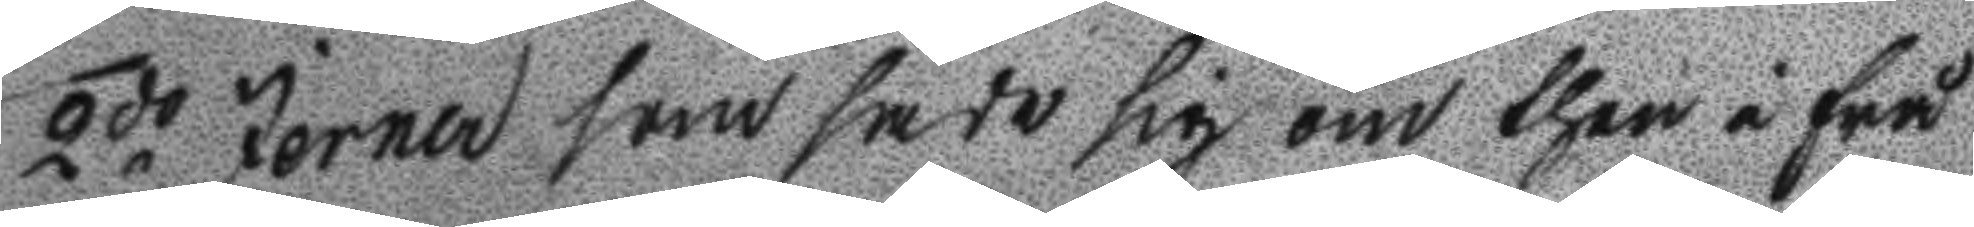2do Jerner som sade sig om then i frå
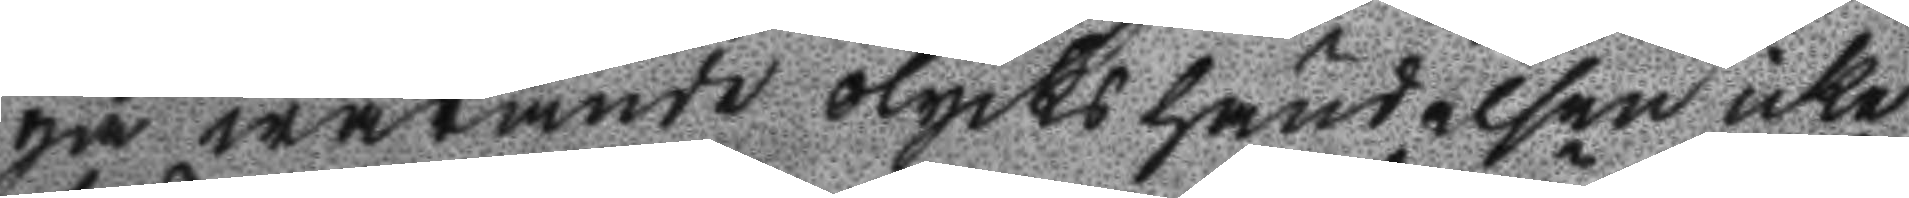ga warande olyckshändelsen icke
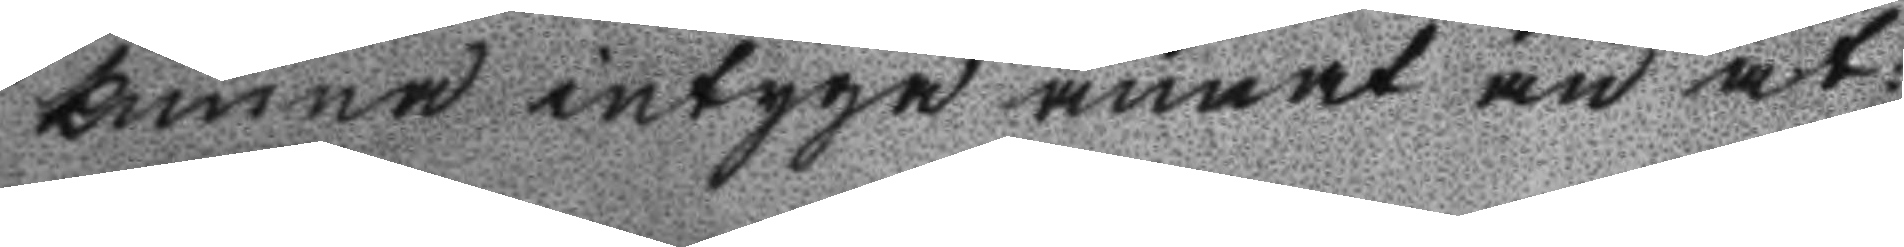kunna intyga annat än at 
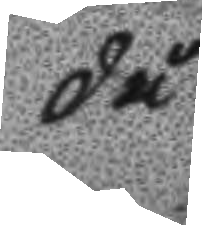då
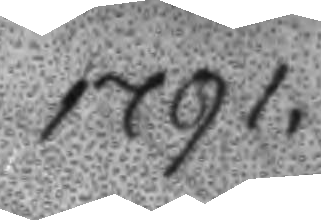1791.
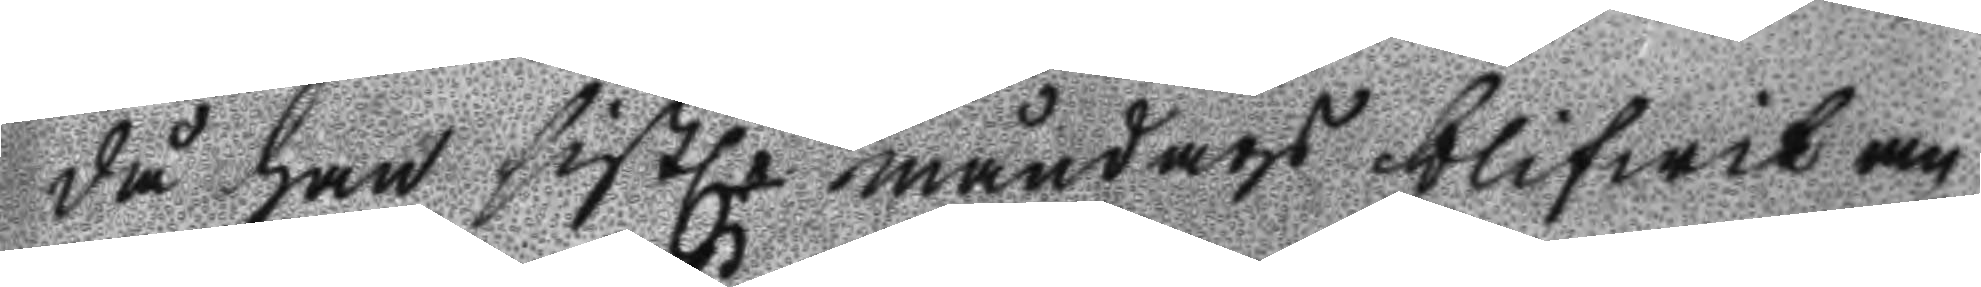då han sistl.e måndags blifwit an
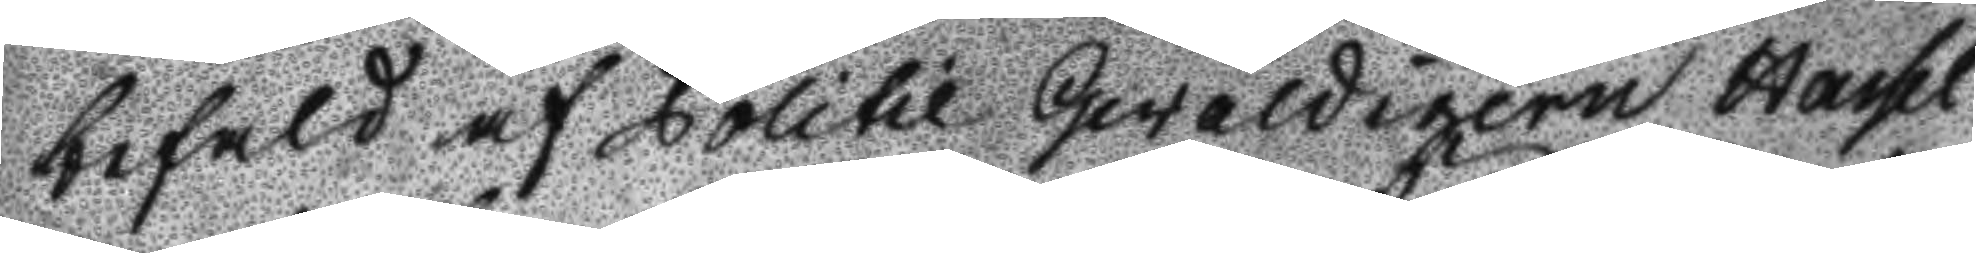befald af Politie Gewaldigern Hassel
